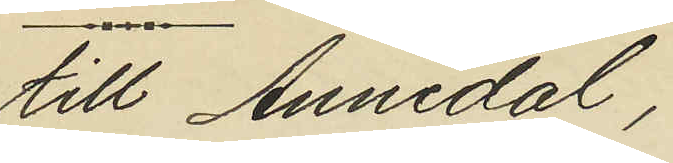till Annedal;
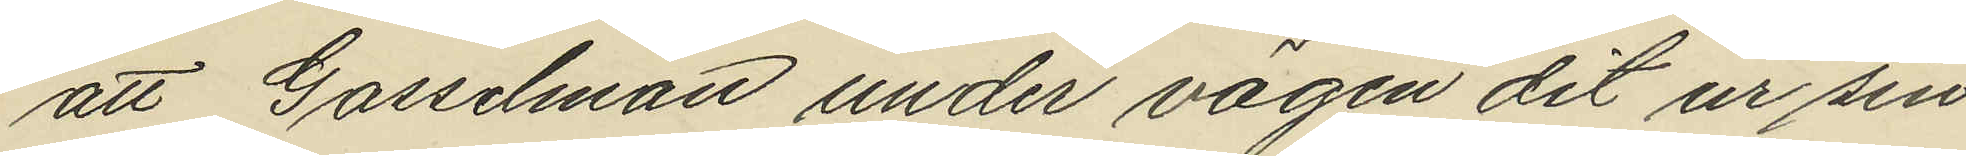att Gosselman under vägen dit ur sin
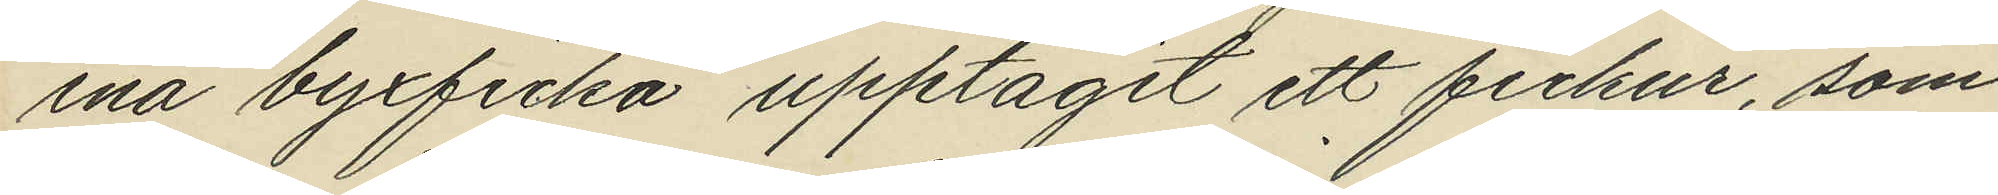ena byxficka upptagit ett fickur, som
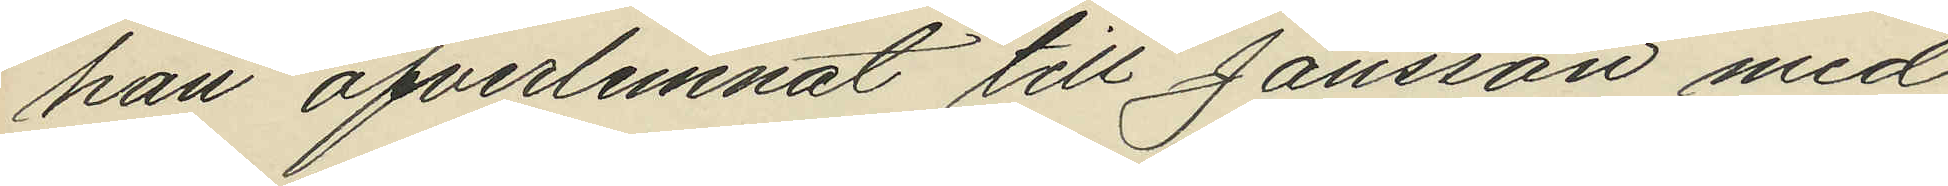han öfverlemnat till Jansson med
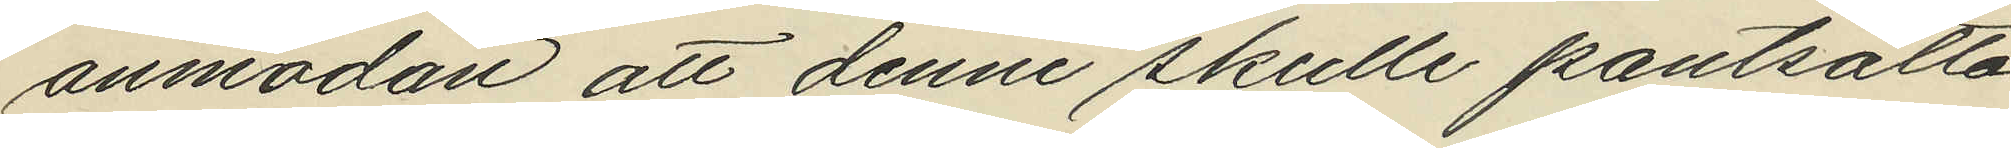anmodan att denne skulle pantsätta
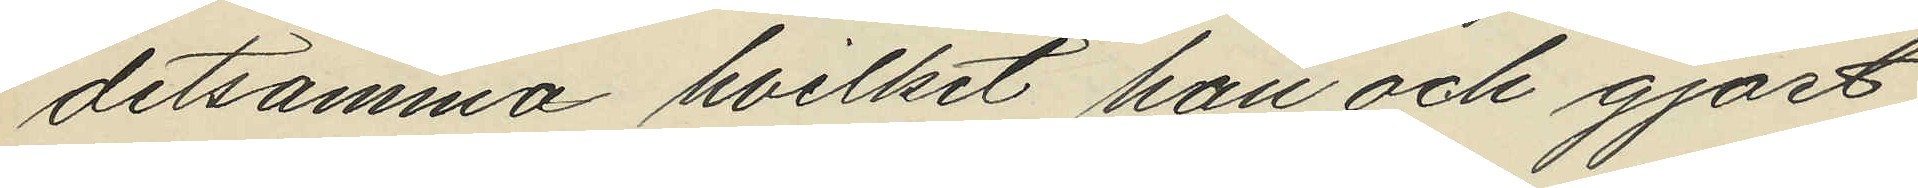detsamma hvilket han och gjort,
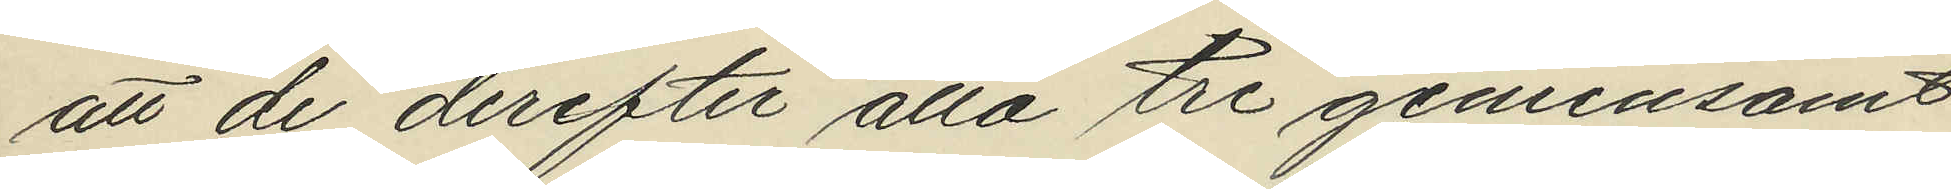att de derefter alla tre gemensamt
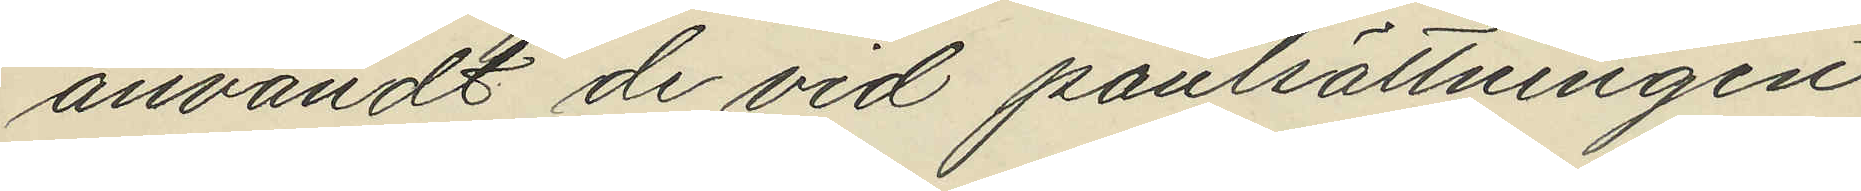användt de vid panlsättningen
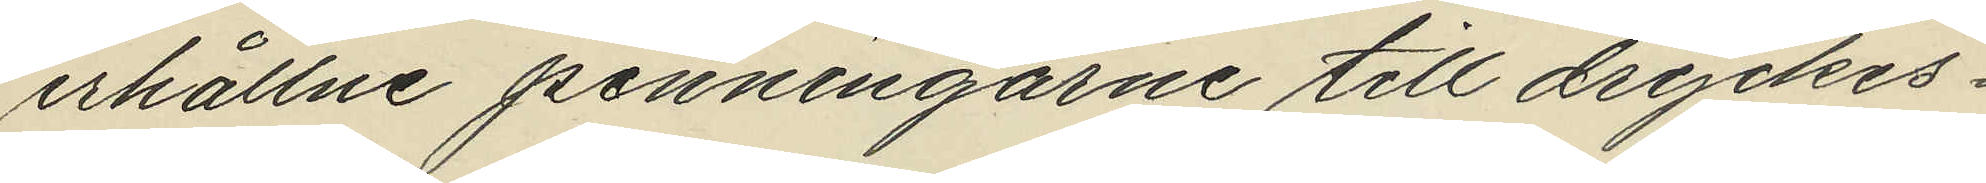erhållne penningarne till dryckes¬
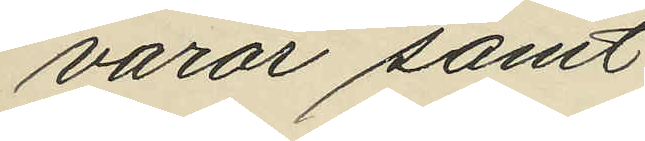varor samt
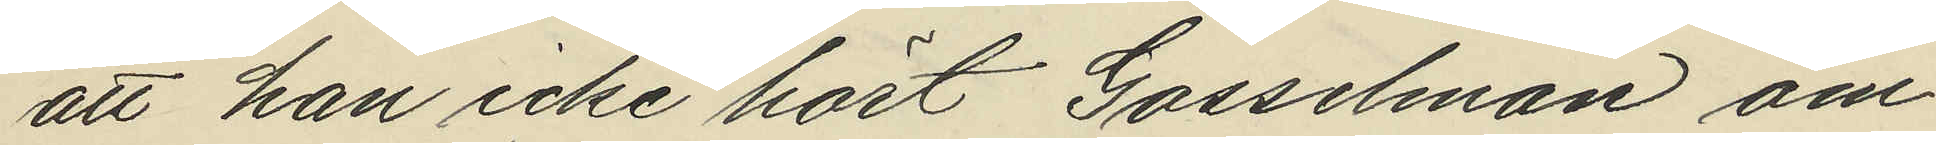att han icke hört Gosselman om¬
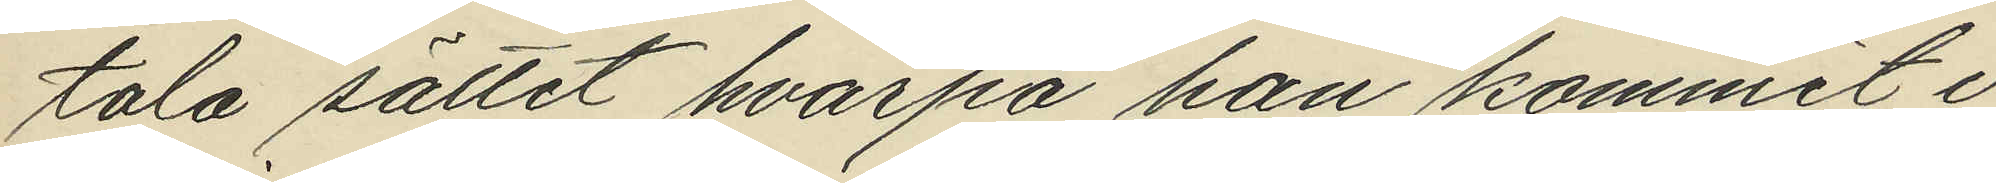tala sättet hvarpå han kommit i
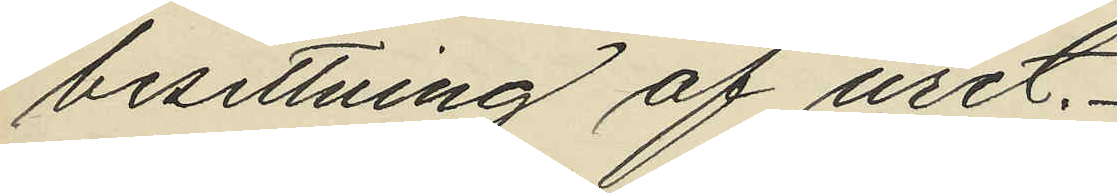besittning af uret.
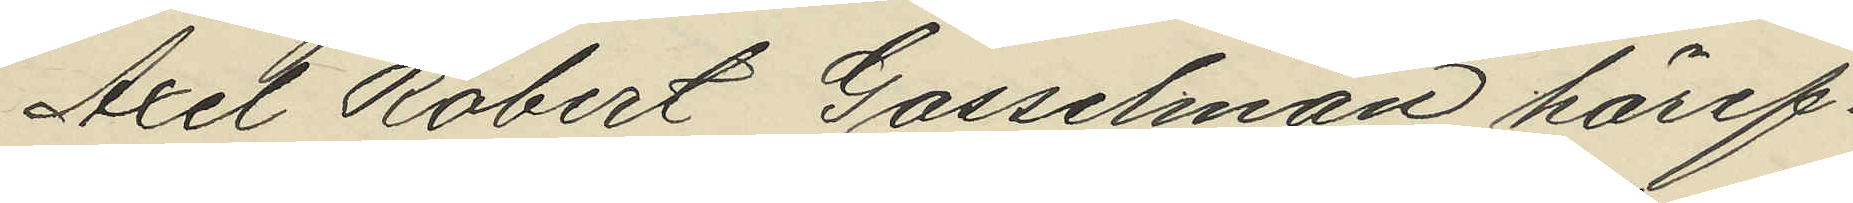Axel Robert Gosselman häref¬
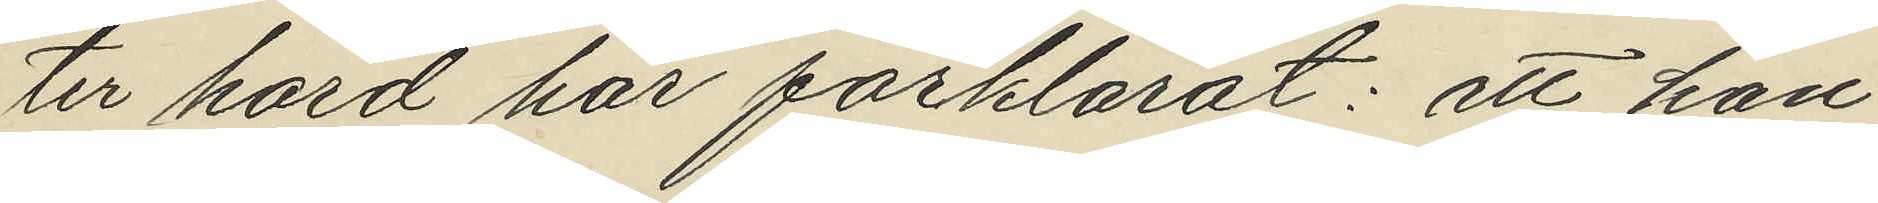ter hörd har förklarat: att han,
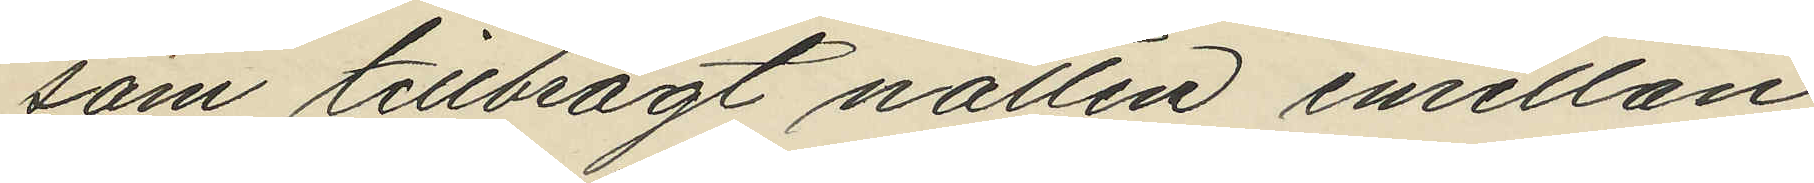som tillbragt natten emellan
